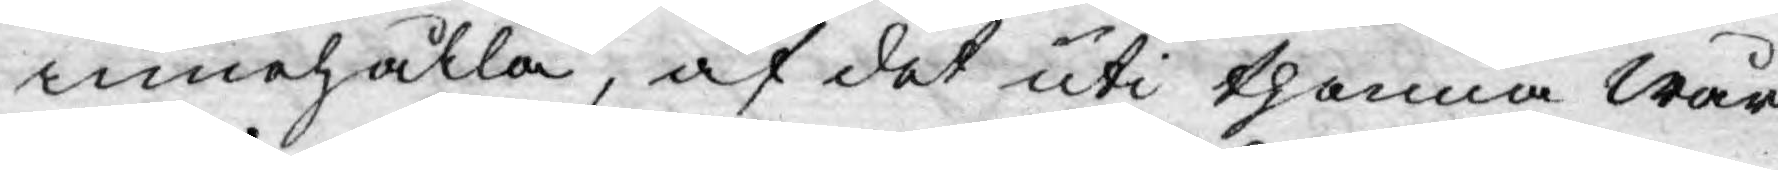innehålla, af det uti thenna wår
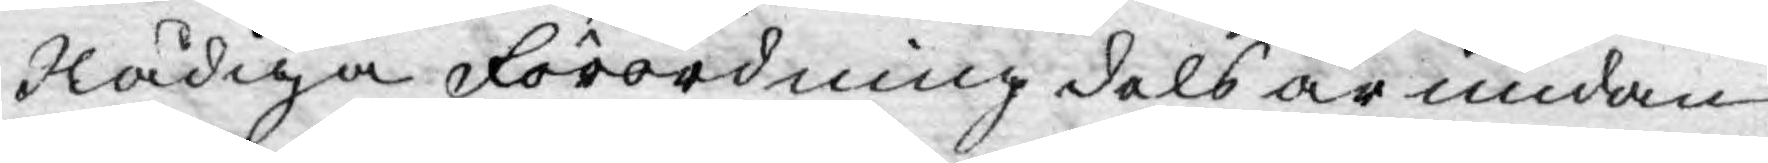Nådiga Förordning dels är undan¬
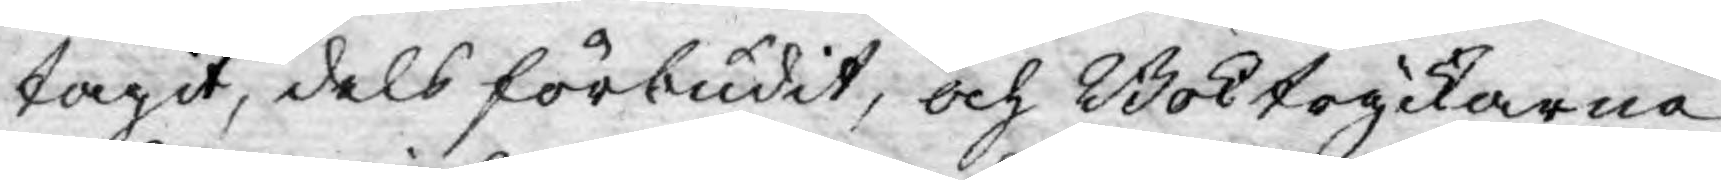tagit, dels förbudit; och Boktryckarna
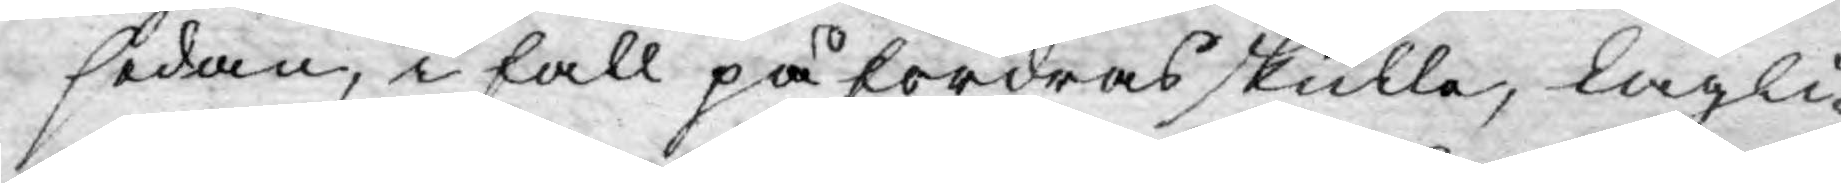sedan, i fall påfordras skulle, lagli¬
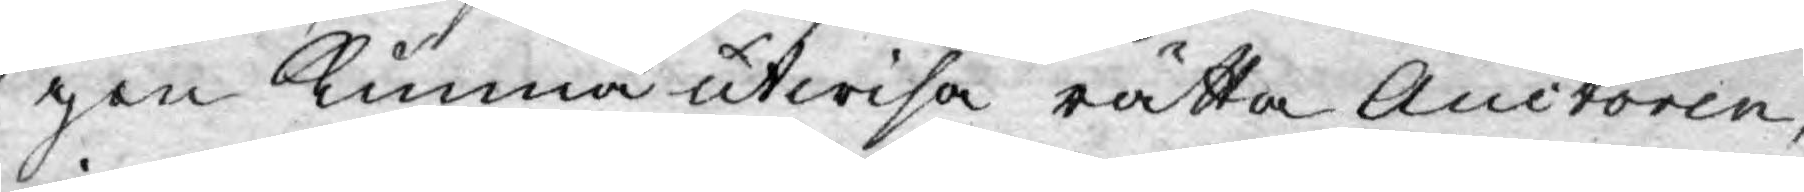gen kunna utwisa rätta Auctoren,
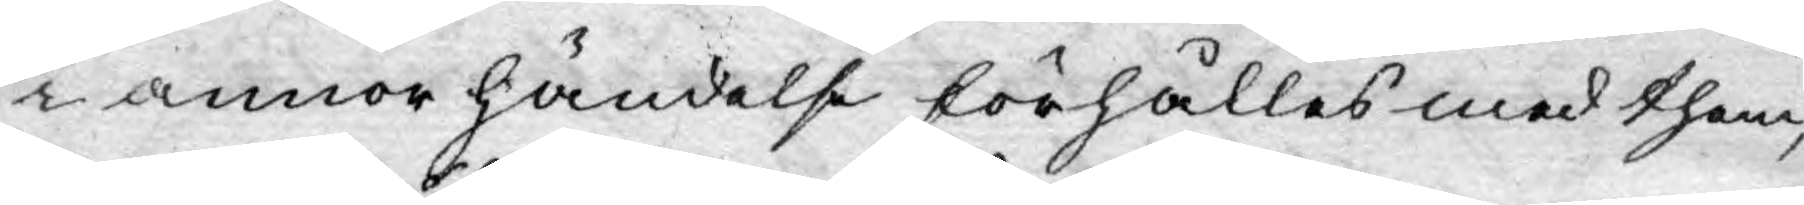i annor händelse förhålles med them,
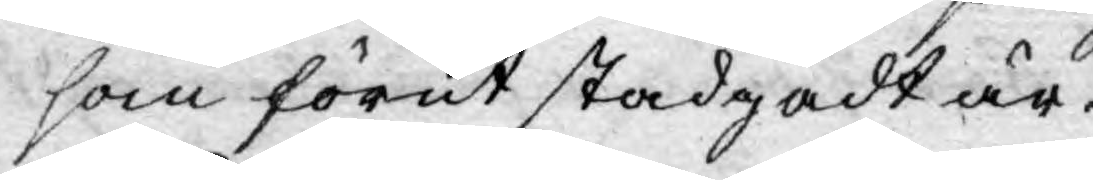som förut stadgadt är.
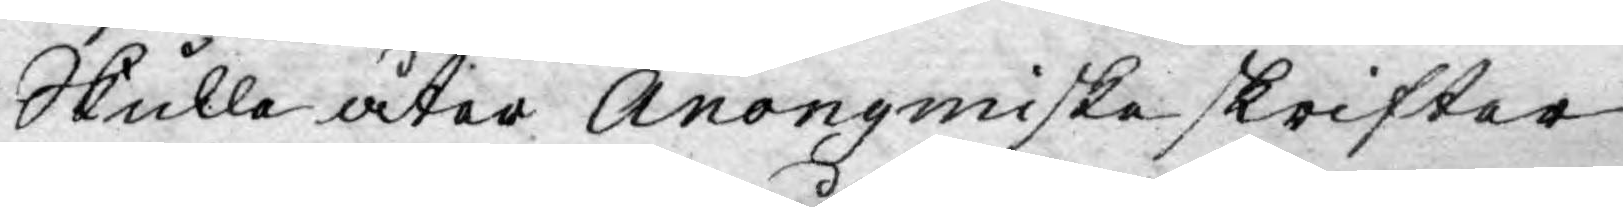Skulle åter Anonymiska skrifter
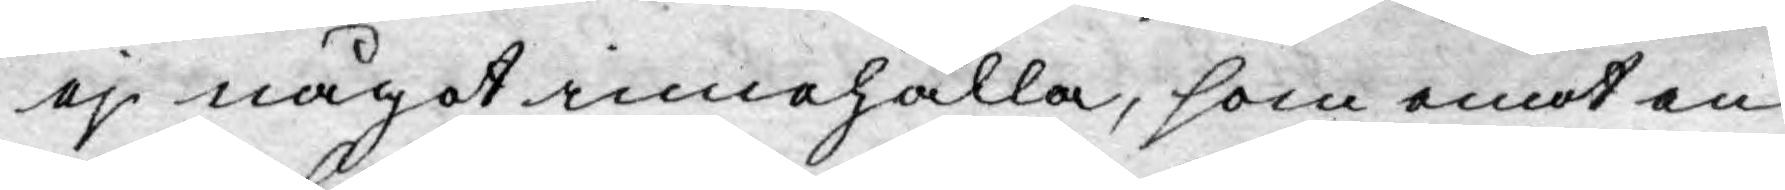ej något innehålla, som emot en
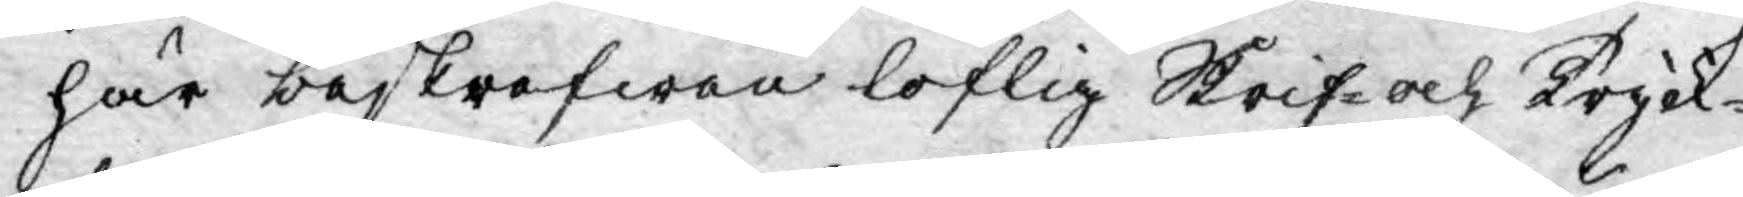här beskrefwan loflig Skrif- och Tryck¬
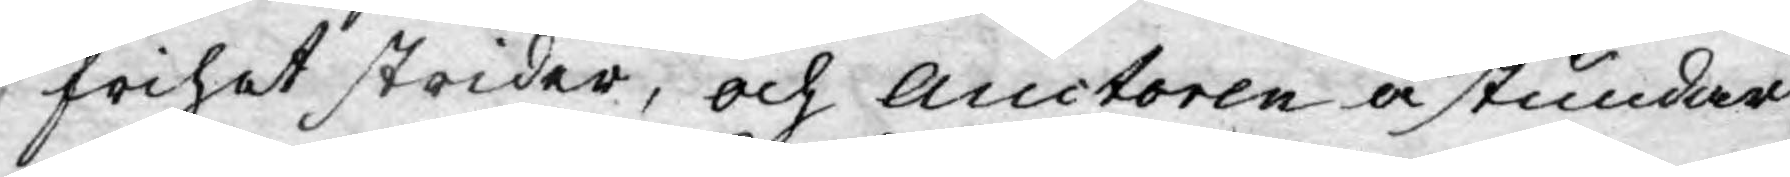frihet strider, och Auctoren åstundar
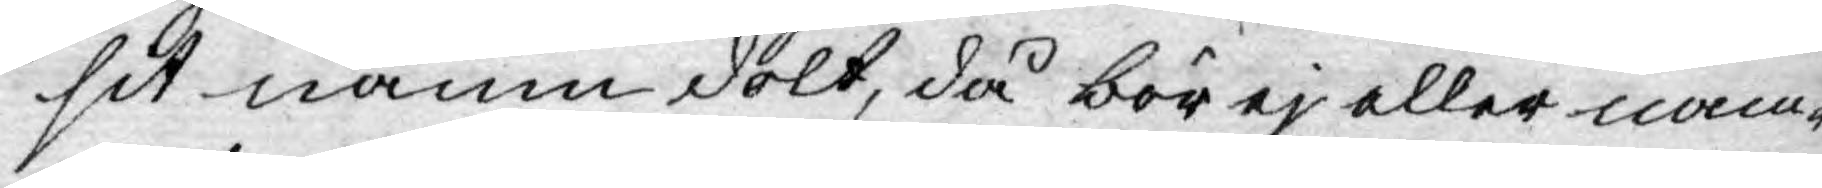sit namn dolt, då bör ej eller nam¬
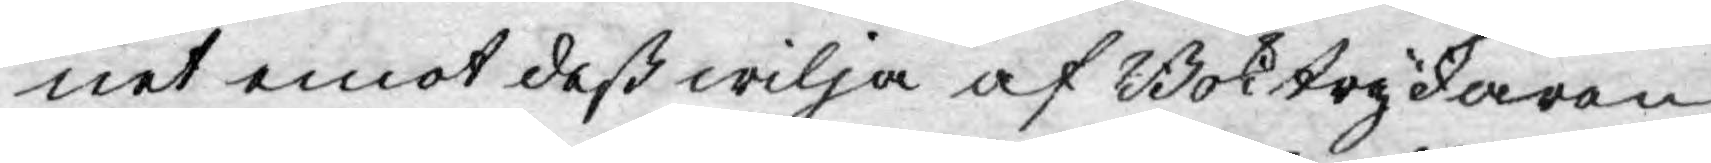net emot deß wilja af Boktryckaren
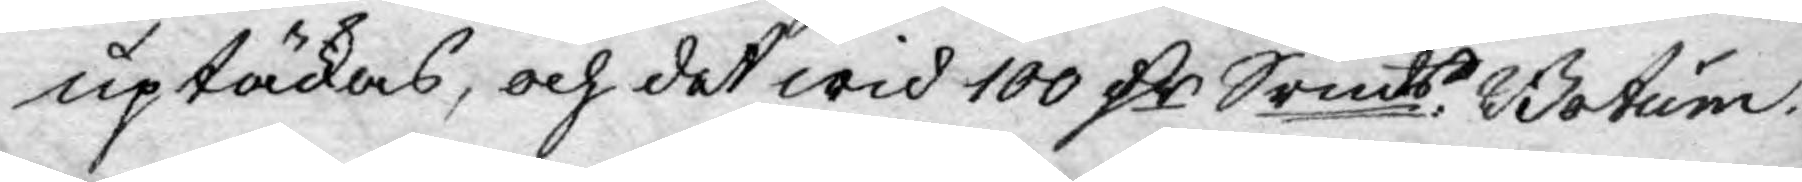uptäckas, och det wid 100 D:r Srmts Botum.
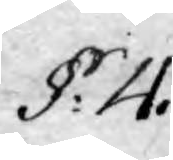§: 4.
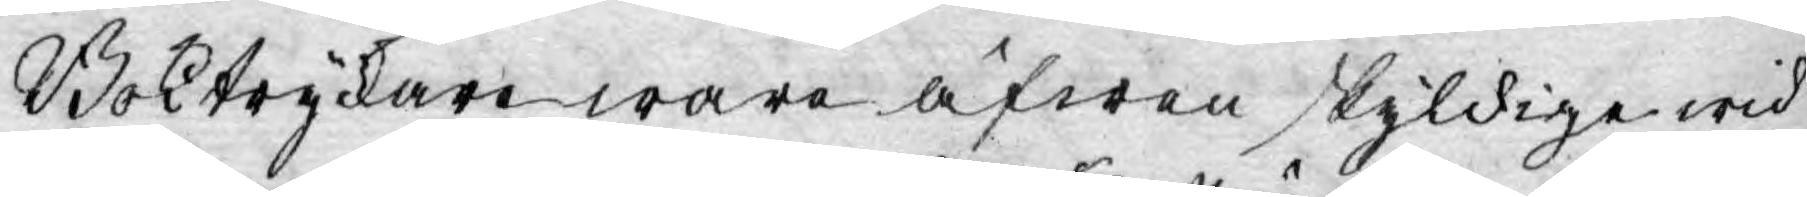Boktryckare wara äfwen skyldige wid
